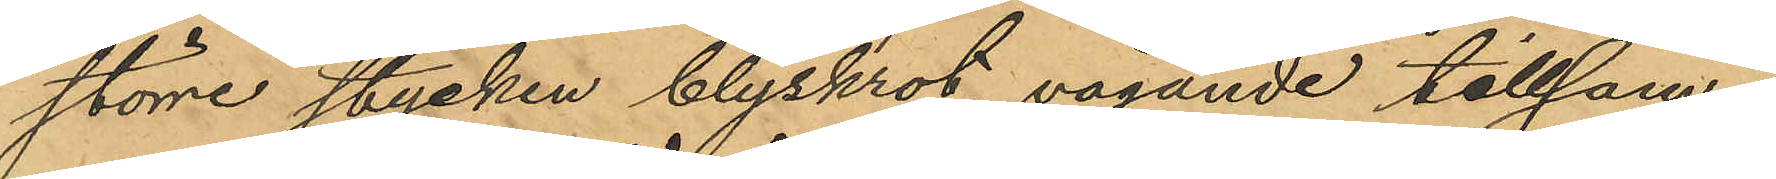större stycken blyskrot, vägande tillsam¬
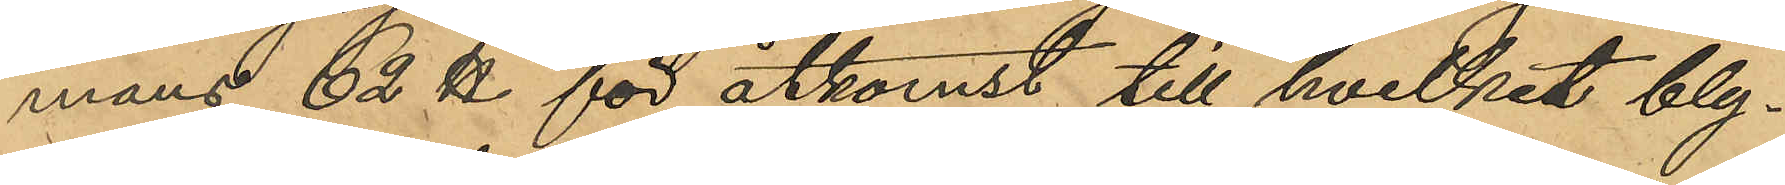mans 62 ℔ för åtkomst till hvilket bly¬
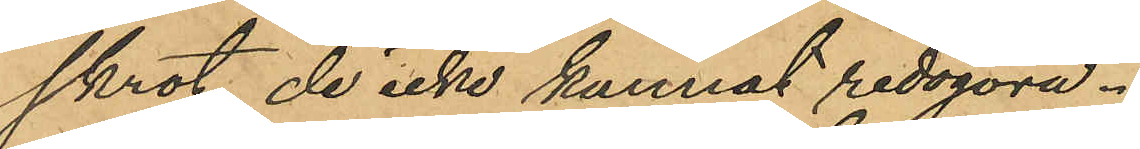skrot de icke kunnat redogöra.
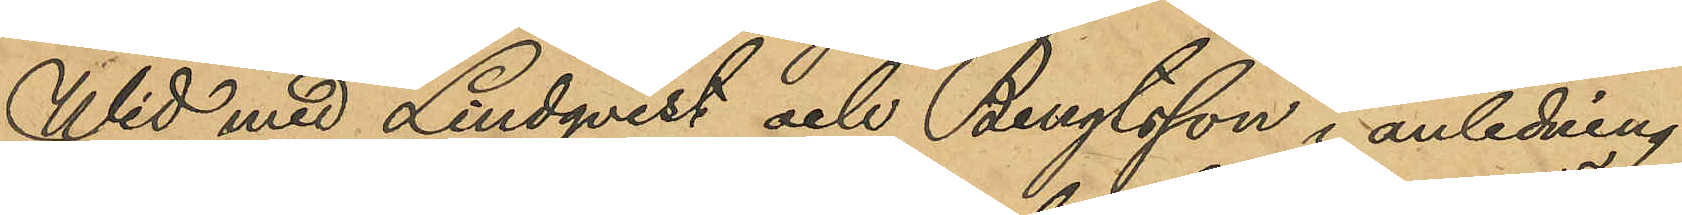Wid med Lindqvist och Bengtsson i anledning
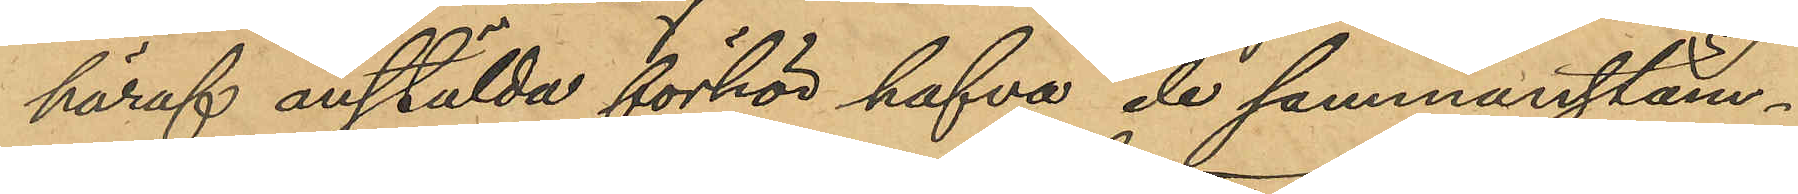häraf anstälda förhör hafva de sammanstäm¬
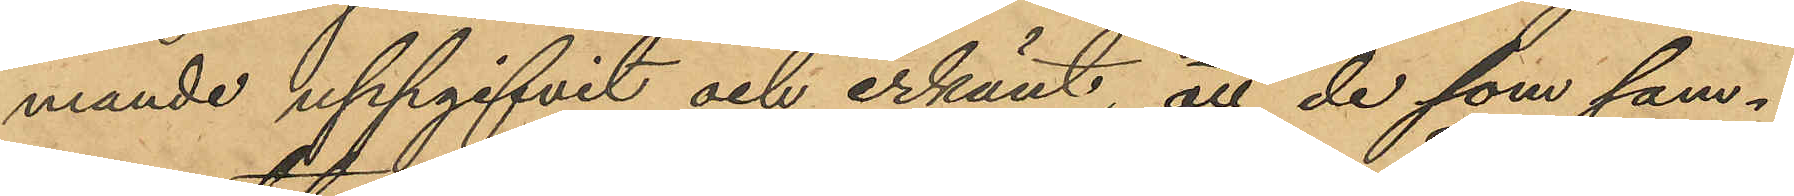mande uppgifvit och erkänt, att de som sam¬
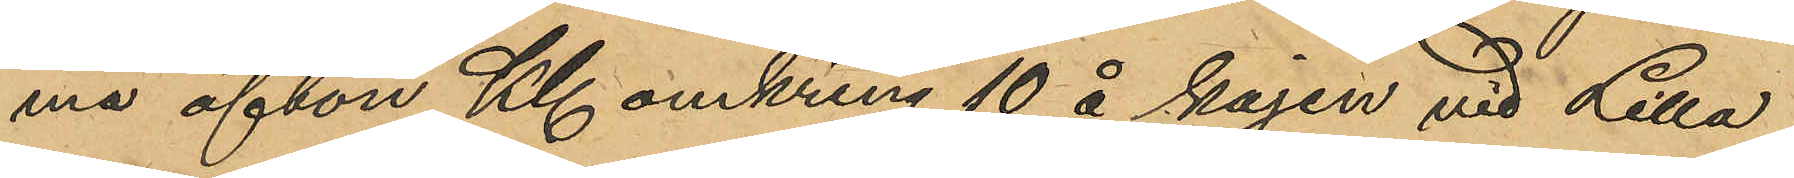ma afton Kl omkring 10 å kajen vid Lilla
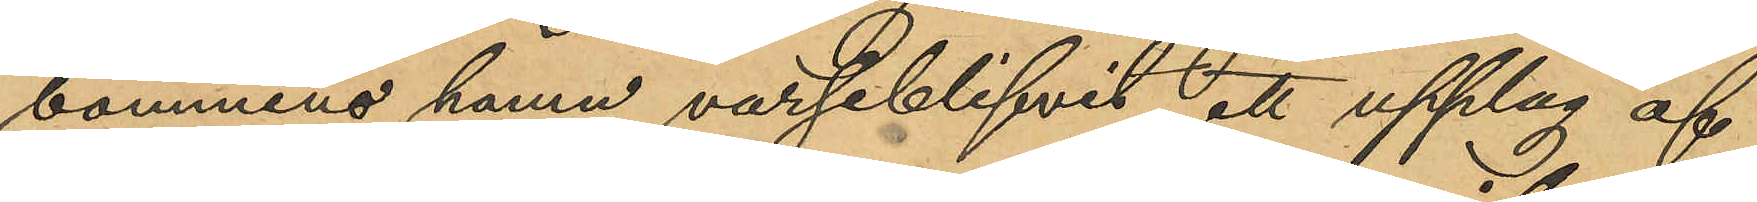bommens hamn varseblifvit att upplag af
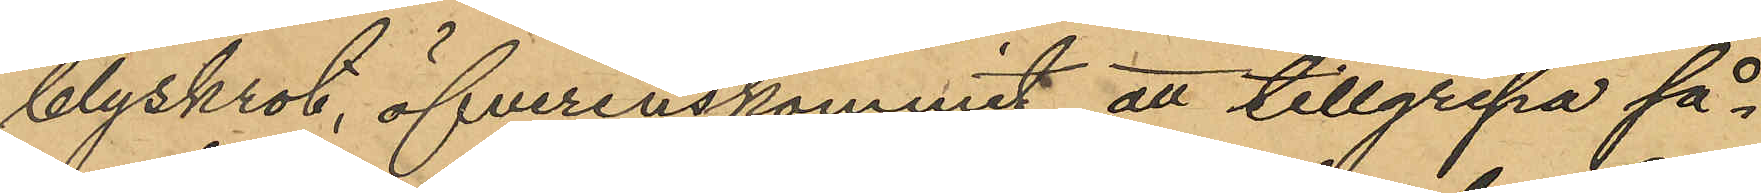blyskrot, öfverenskommit att tillgripa så¬
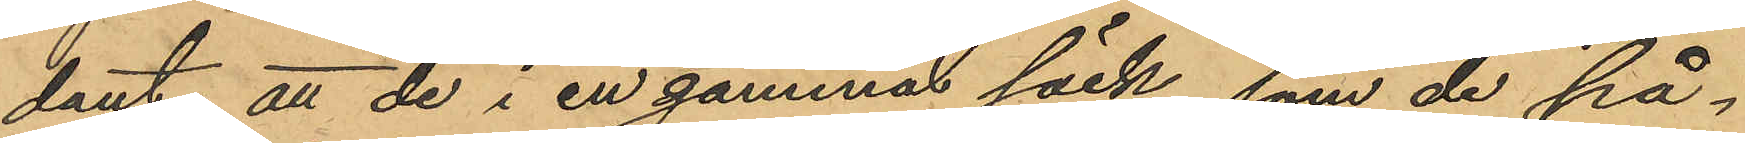dant att de i en gammal säck, som de på¬
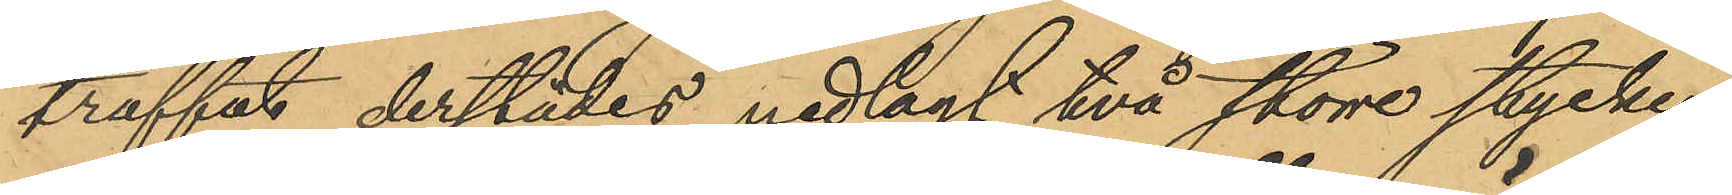träffat derstädes nedlagt två större stycken
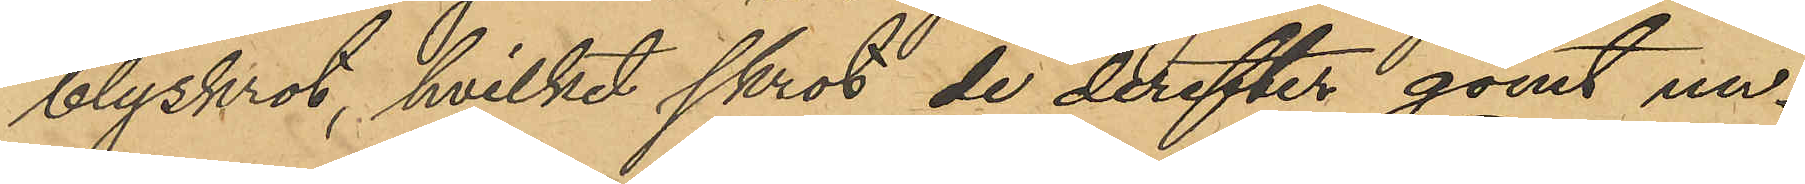blyskrot, hvilket skrot, de derefter gömt un¬
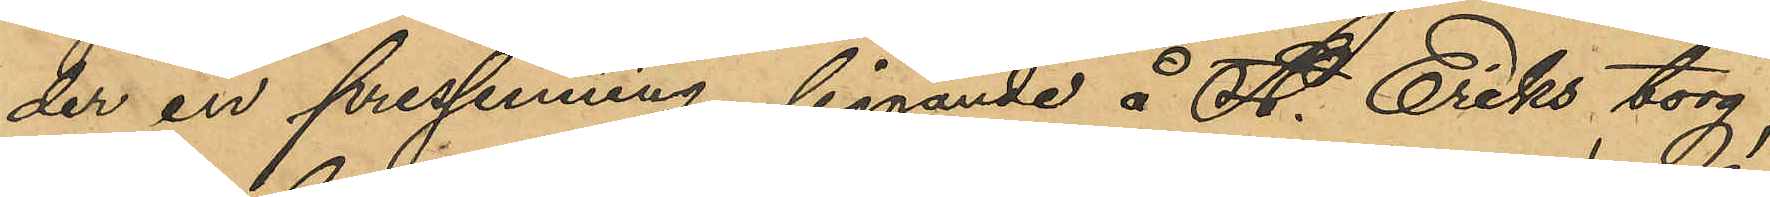der en pressenning liggande å St. Eriks torg,
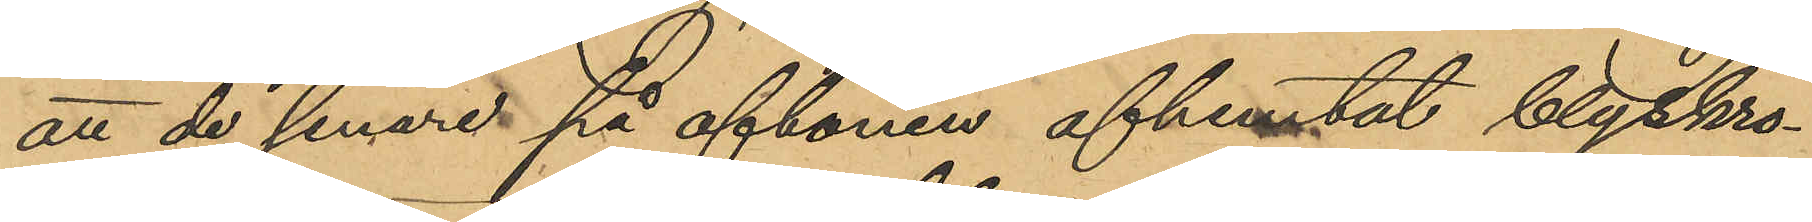att de senare på aftonen afhemtat blyskro¬
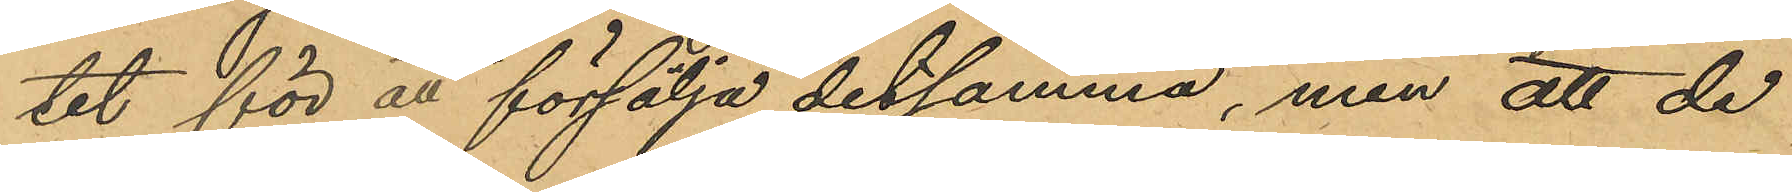tet för att försälja detsamma, men att de
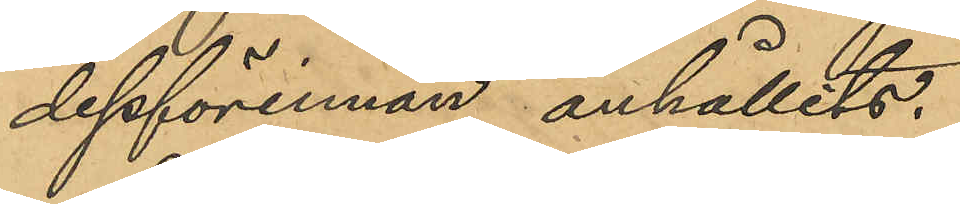dessförinnan anhållits.
